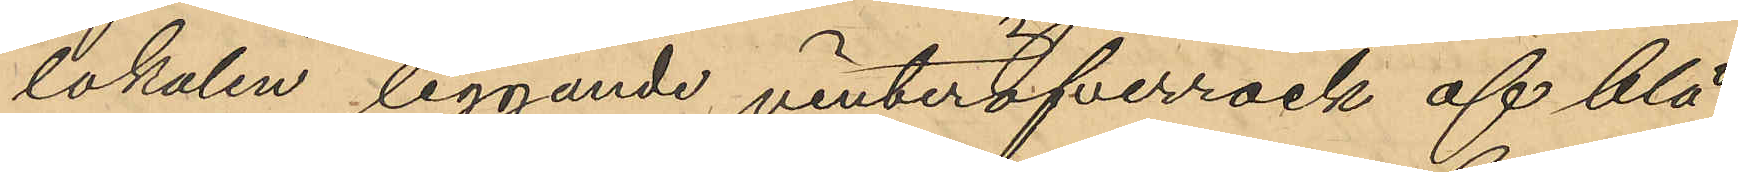lokalen liggande vinteröfverrock af blå 
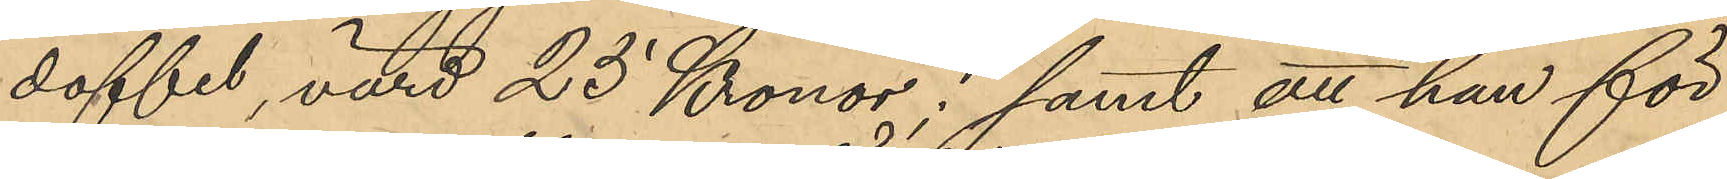doffel, värd 25 Kronor; samt att han för
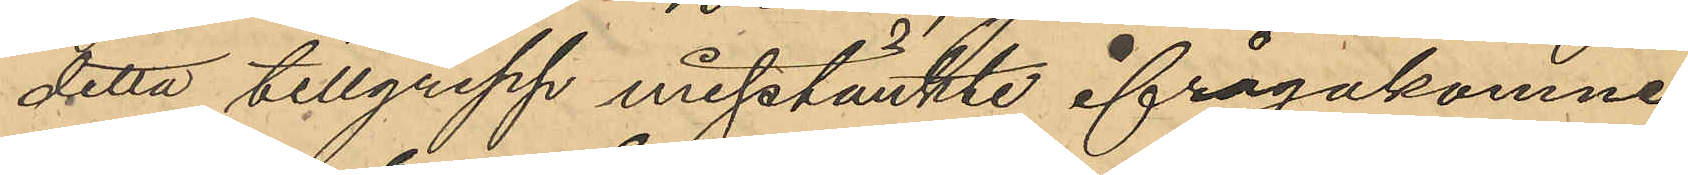detta tillgrepp misstänkte ifrågakomne
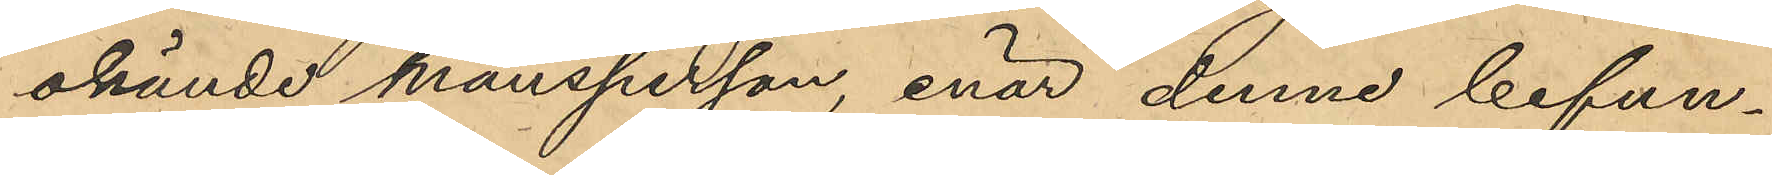okände mansperson, enär denne befun¬
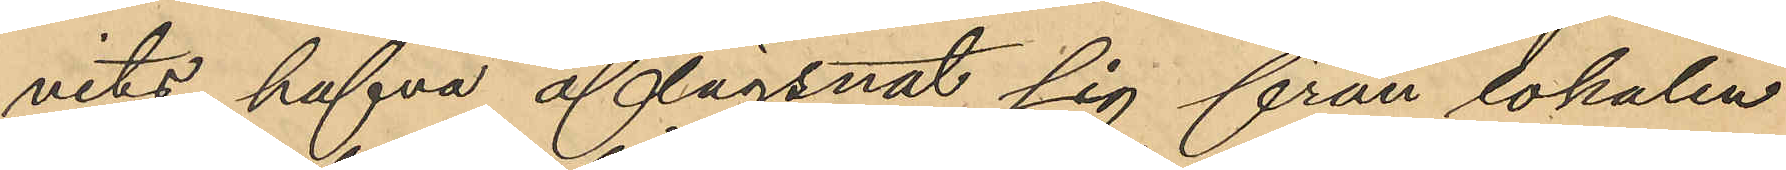nits hafva aflägsnat sig från lokalen
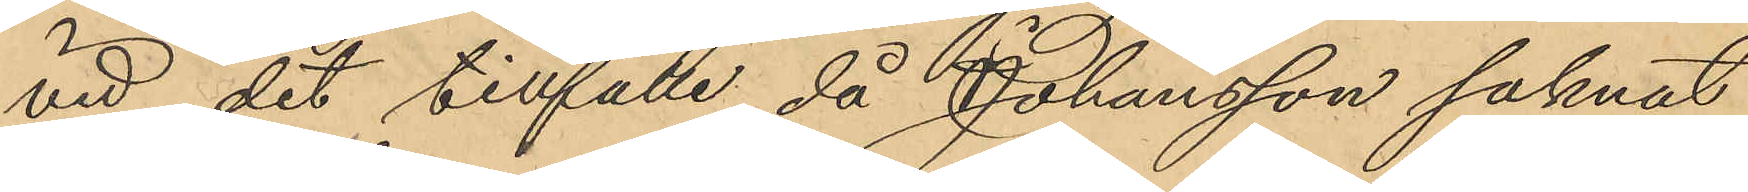vid det tillfälle då Johansson saknat
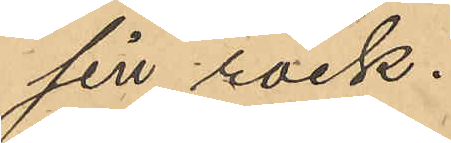sin rock.
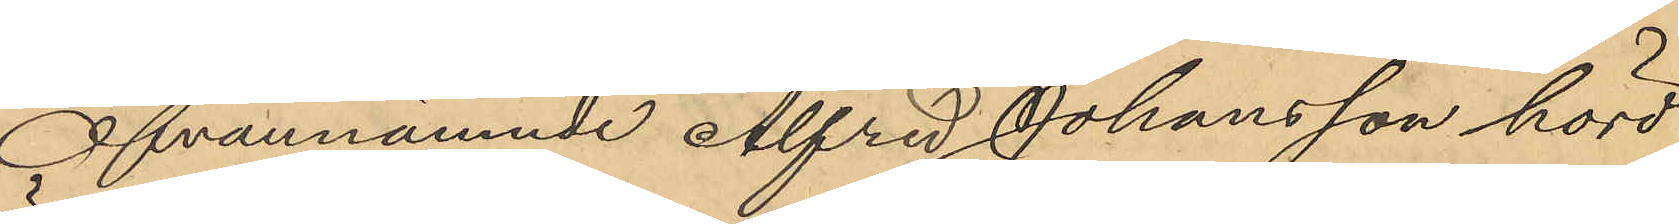Ofvannämnde Alfred Johansson hörd
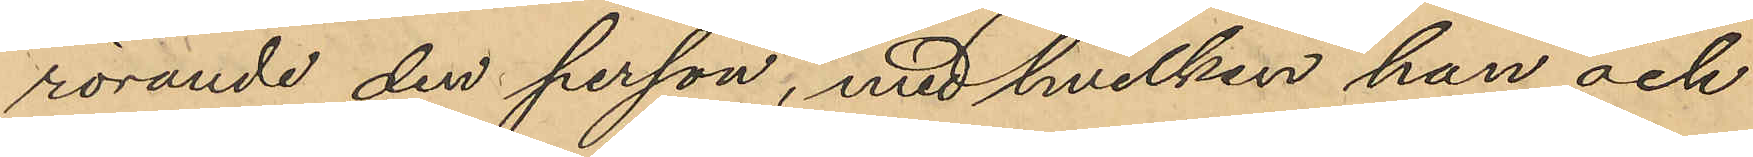rörande den person, med hvilken han och
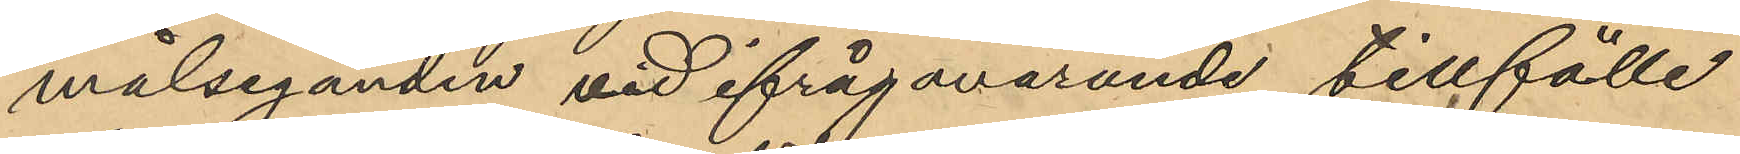målseganden vid ifrågavarande tillfälle
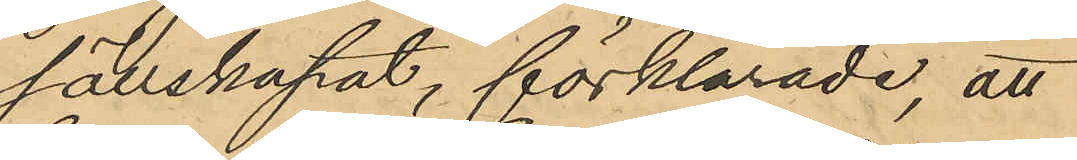sällskapat, förklarade, att
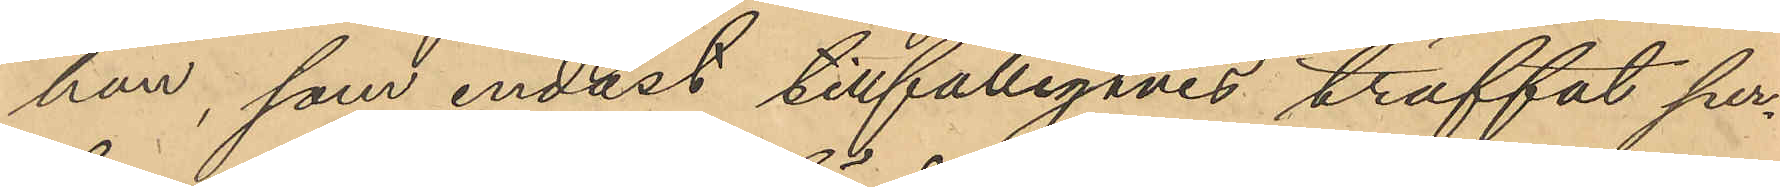han, som endast tillfälligtvis träffat per¬
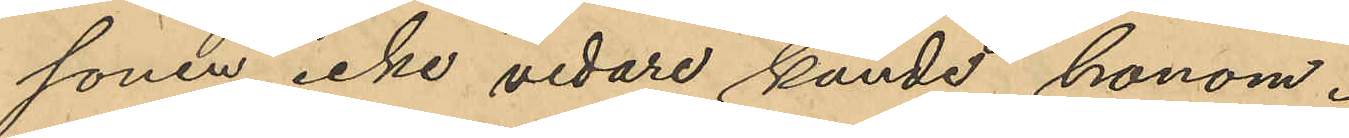sonen, icke vidare kände honom.
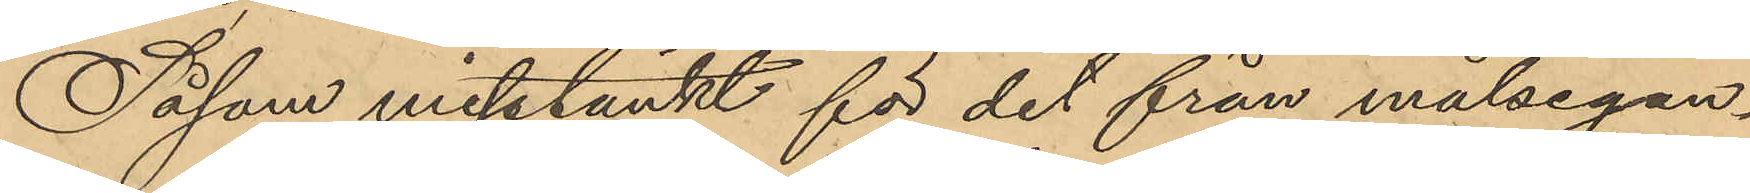Såsom misstänkt för det från målsegan¬
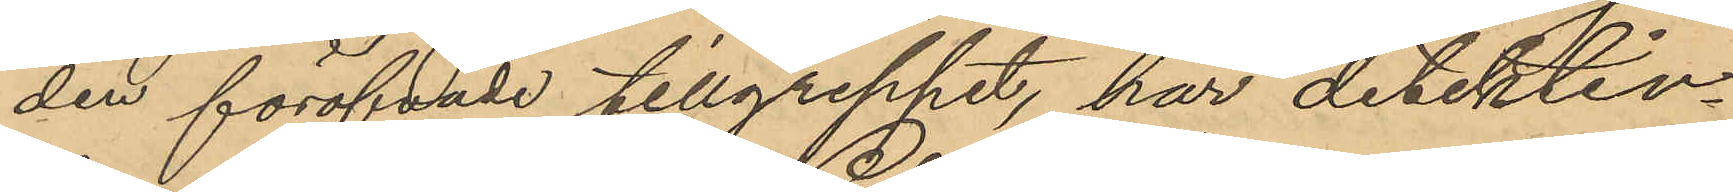den föröfvade tillgreppet, har detektiv¬
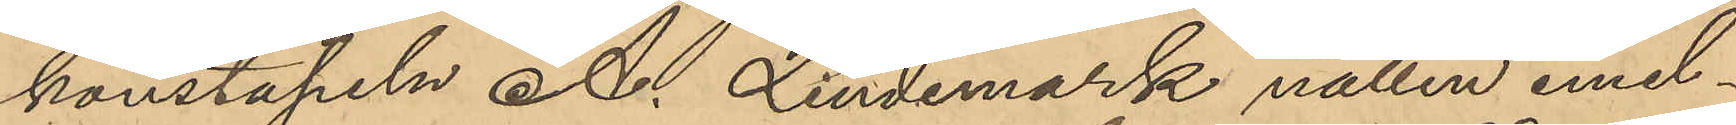konstapeln A. Lindemark natten emel¬
